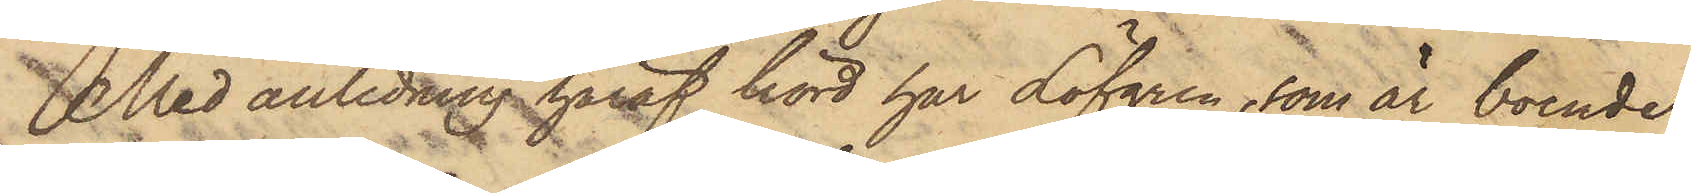Med anledning häraf hörd har Löfgren, som är boende
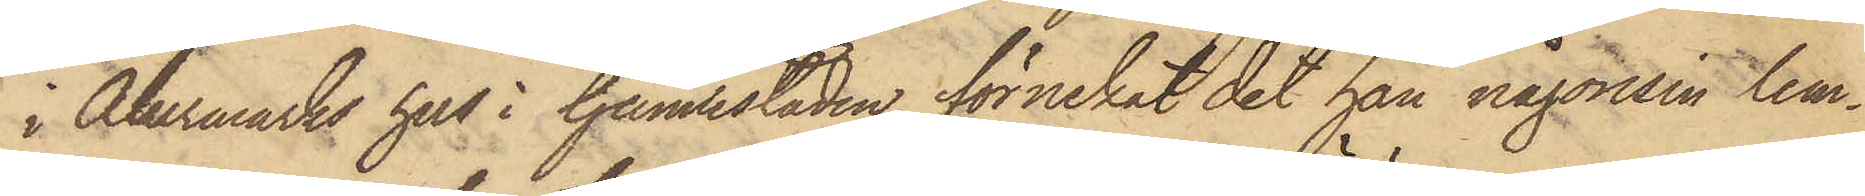i Åkermarks hus i Gamlestaden, förnekat det han någonsin lem¬
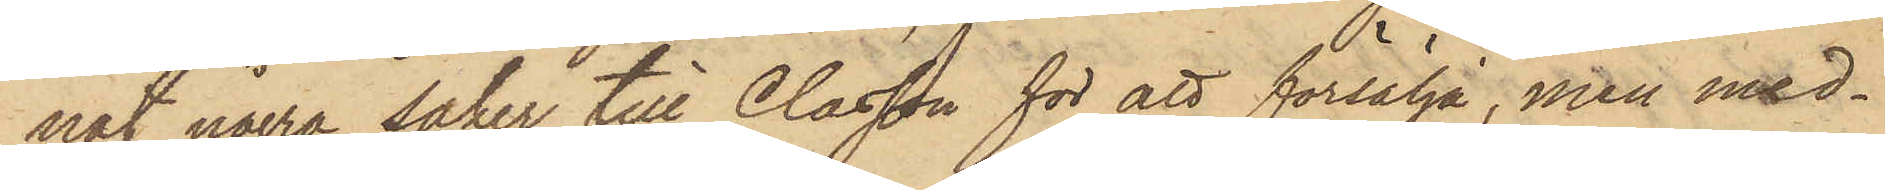nat några saker till Classon för att försälja, men med¬
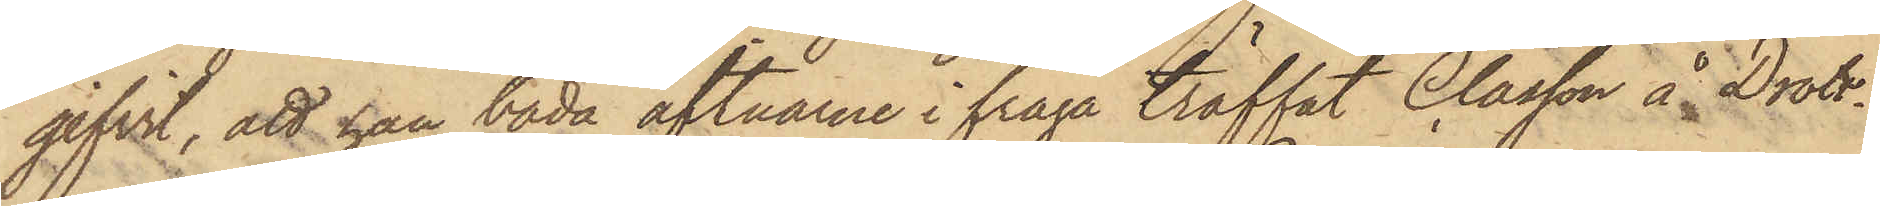gifvit, att han båda aftnarne i fråga träffat Classon å Drott¬
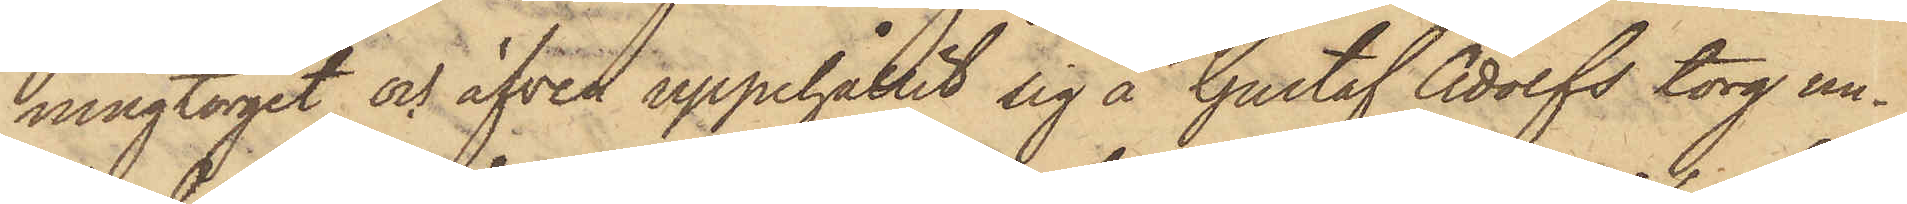ningtorget och äfven uppehållit sig å Gustaf Adolfs torg un¬
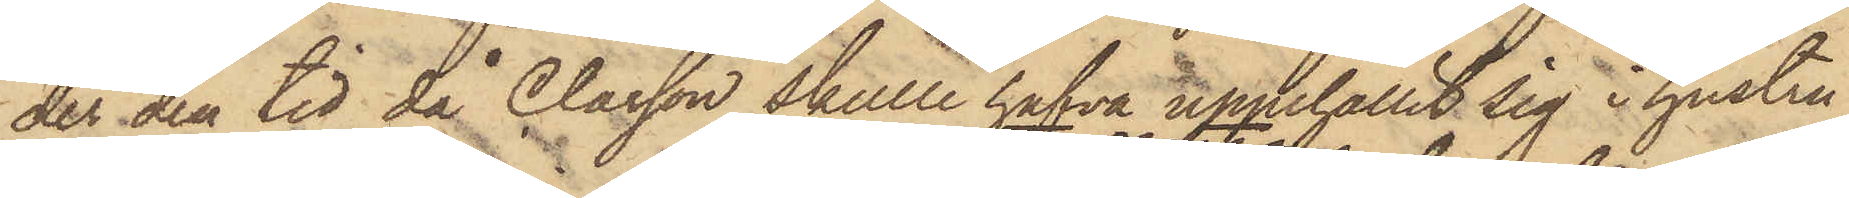der den tid, då Classon skulle hafva uppehållit sig i hustru
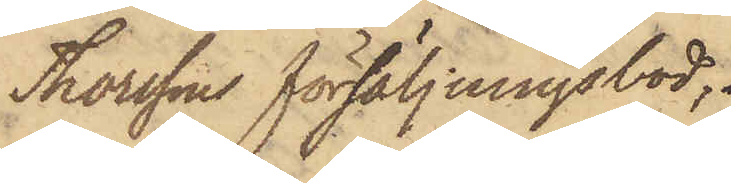Thorssons försäljningsbod;
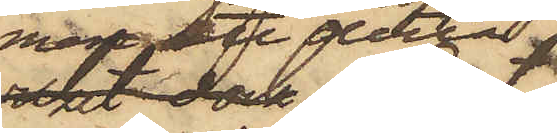men att detta
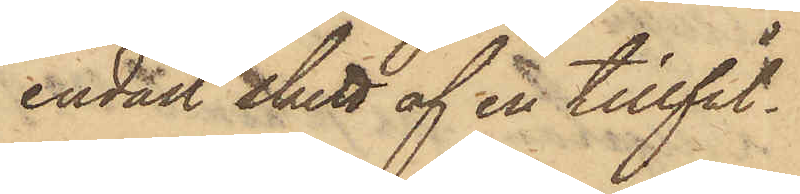endast skett af en tillfäl¬
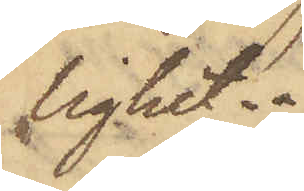lighet.
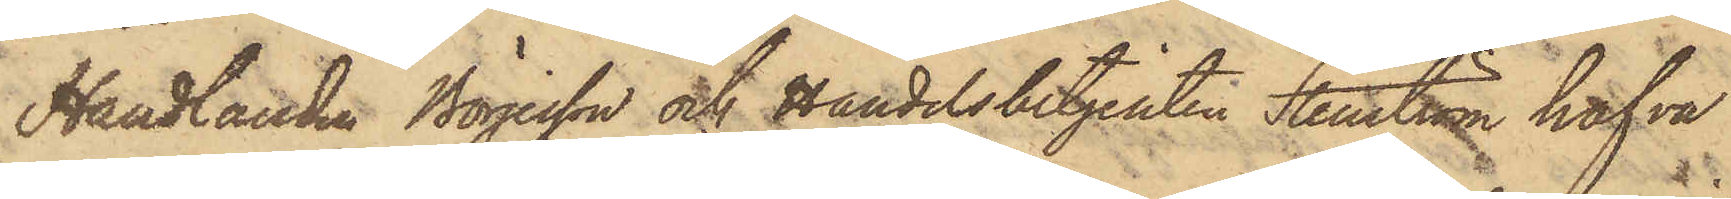Handlanden Börjesson och Handelsbetjenten Stenström hafva
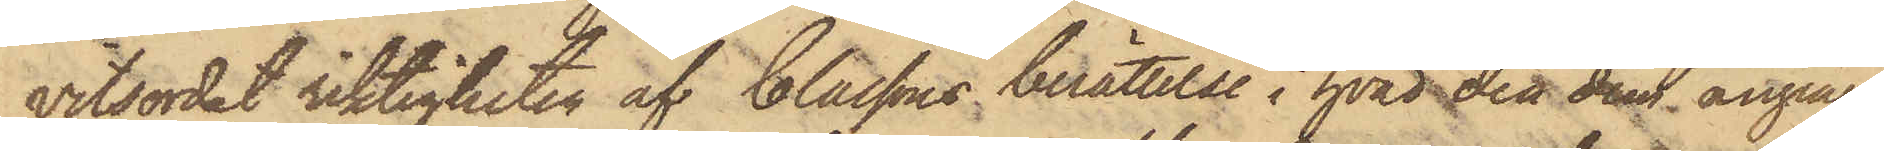vitsordat riktigheten af Classons berättelse i hvad den dem anginge
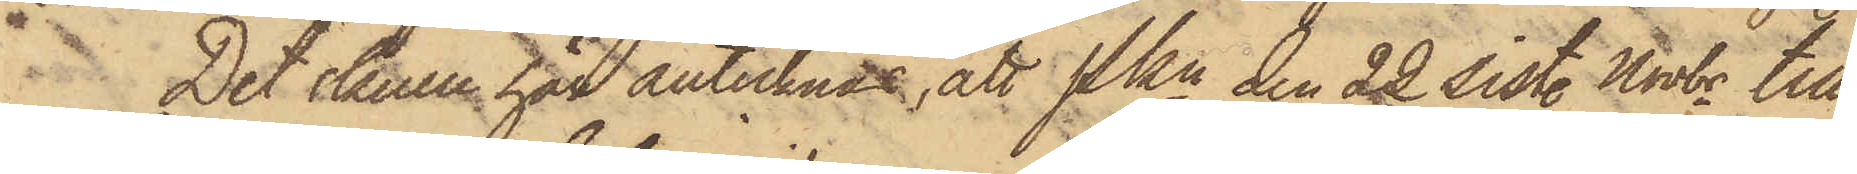Det skulle här antecknas, att Pkn den 22 sist. Novbr till
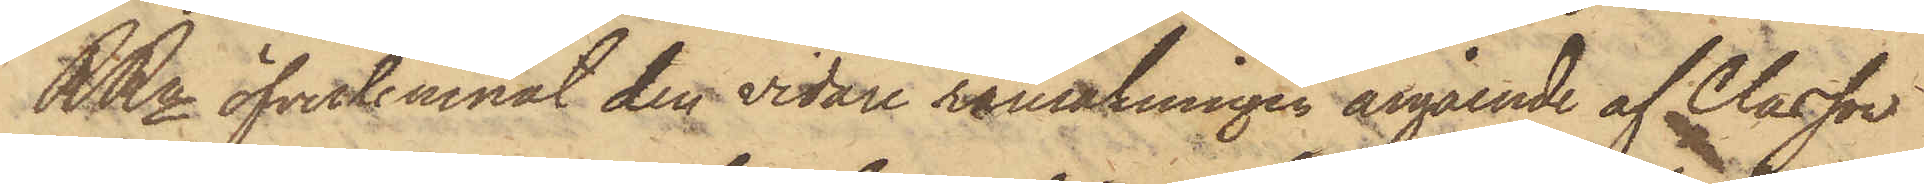RRn öfverlemnat den vidare ransakningen angående af Classon
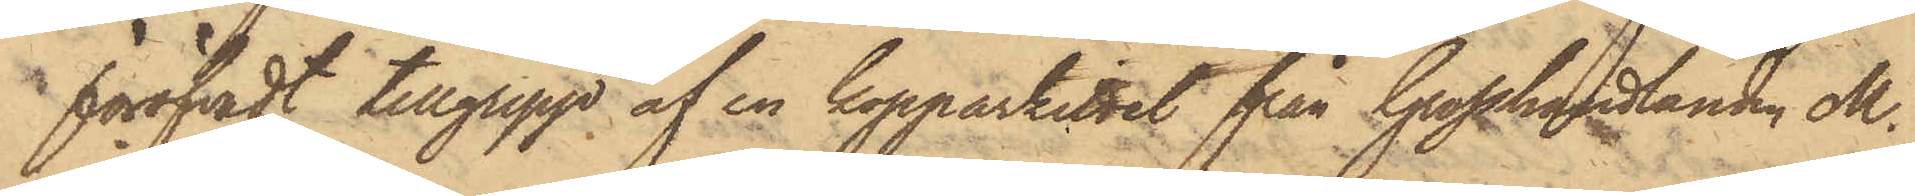 föröfvadt tillgrepp af en kopparkittel från Grosshandlanden M.
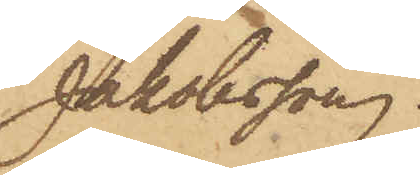Jakobsson.
